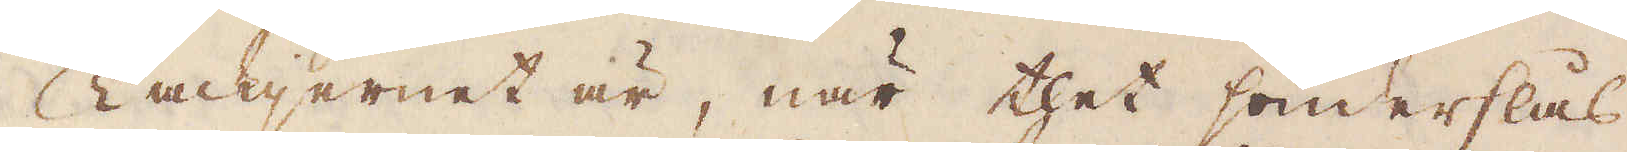Tackjernet är, när thet sönderslås
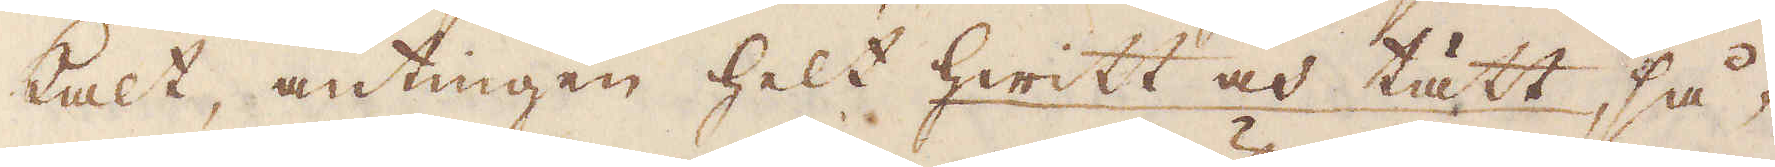kalt, antingen helt hwitt och tätt så-
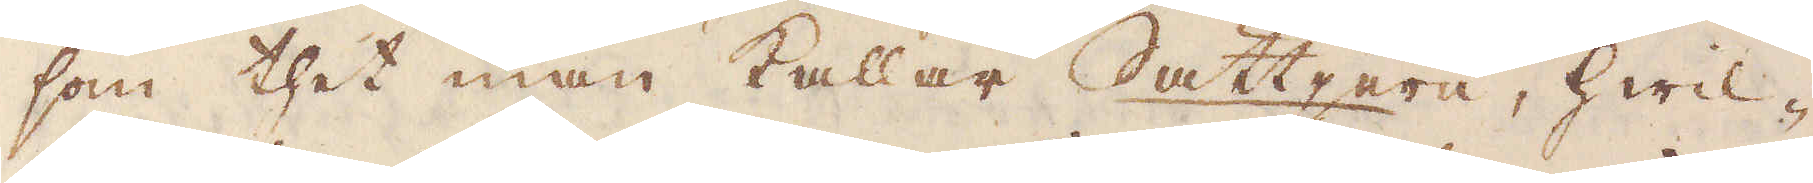som thet man kallar Sättjern, hwil-
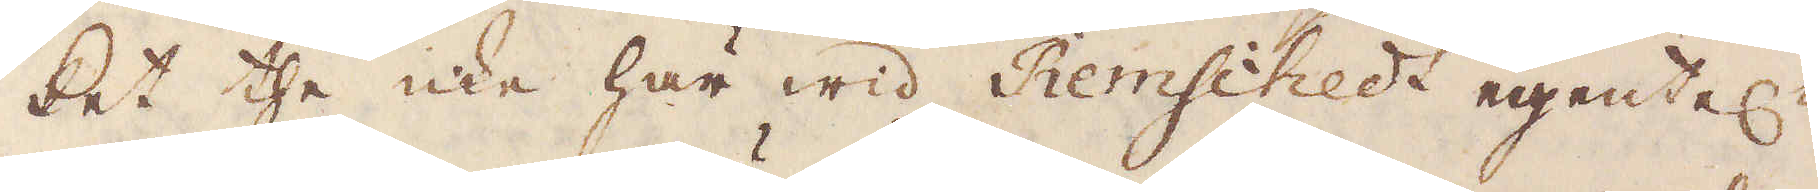ket the icke här wid Remschedt egentel:n
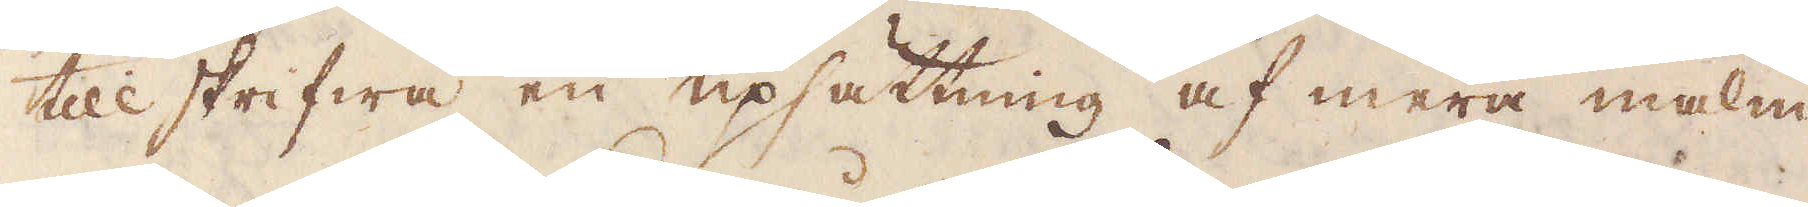till skrifwa en upsättning af mera malm
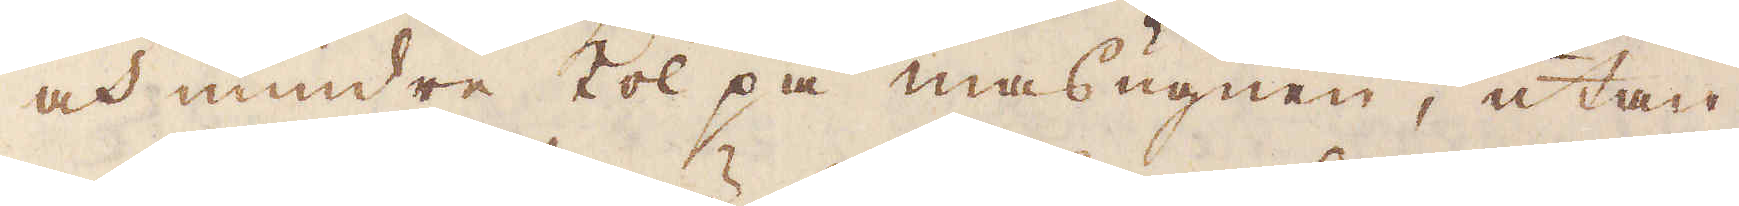och mindre kol på masugnen, utan,
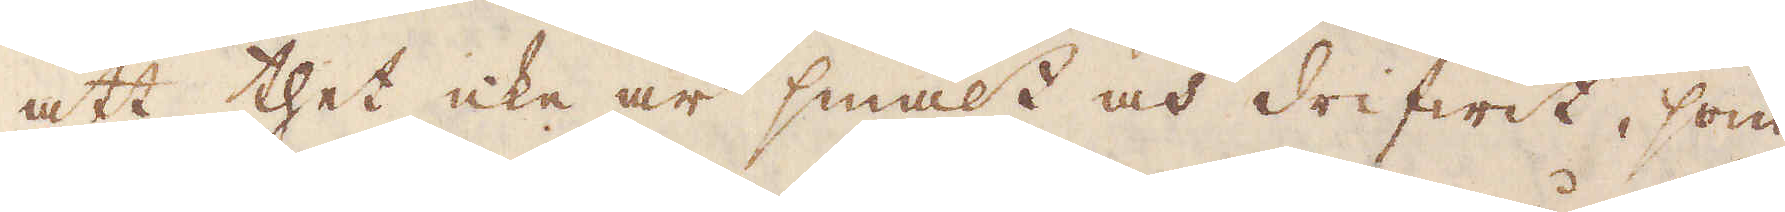att thet icke är smält och drifwit, som
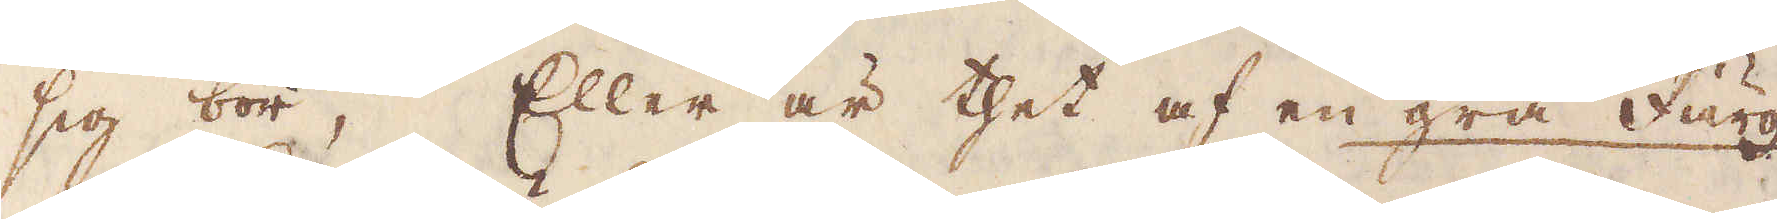sig bör; Eller är thet af en grå färg
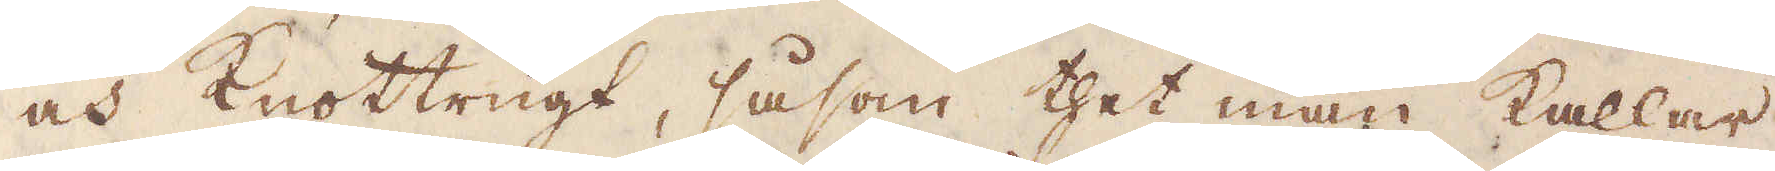och knottrigt, såsom thet man kallar
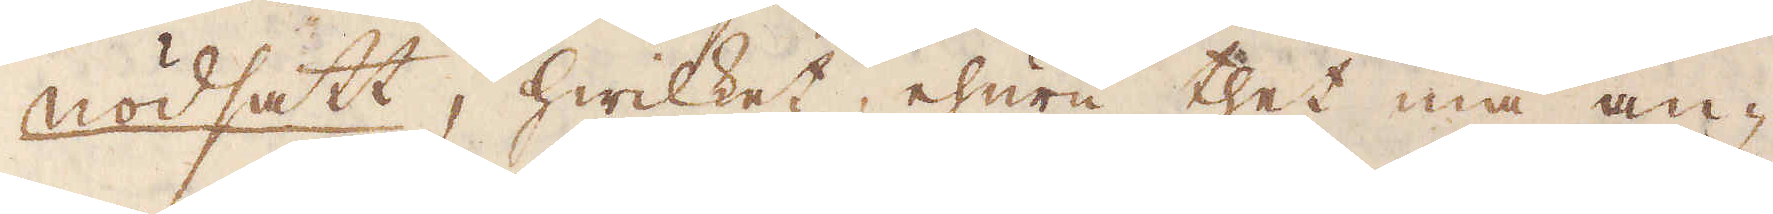nödsatt, hwilket, ehuru thet må an-
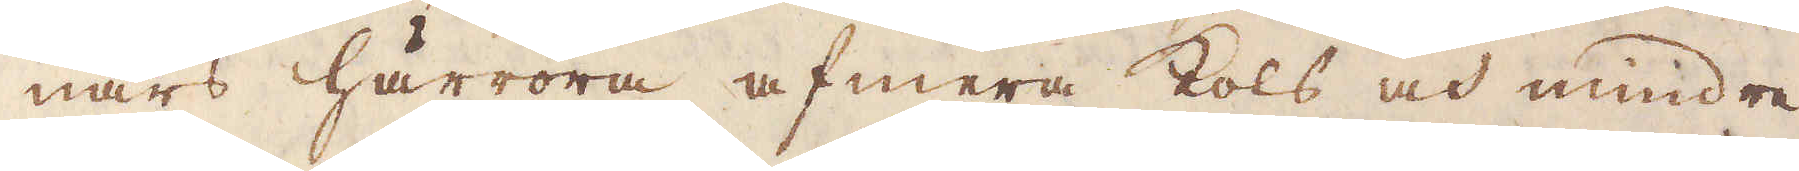nars härröra af mera kols och mindre
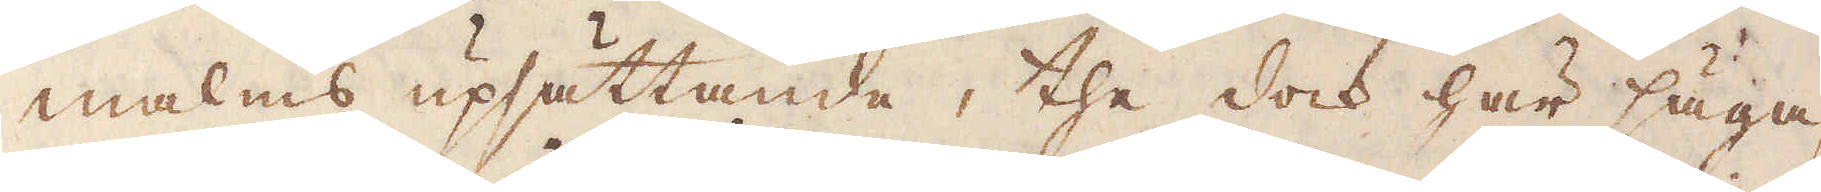malms upsättande, the dock här säga,
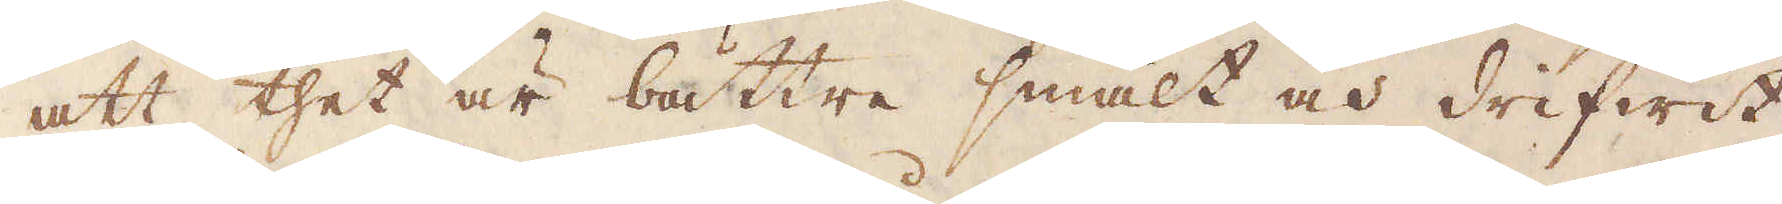att thet är bättre smält och drifwit,
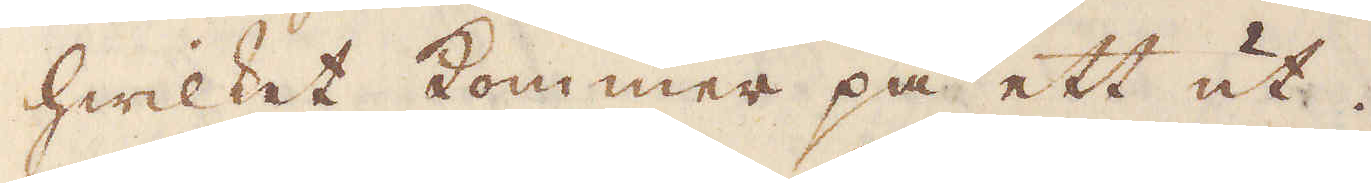hwilket kommer på ett ut.
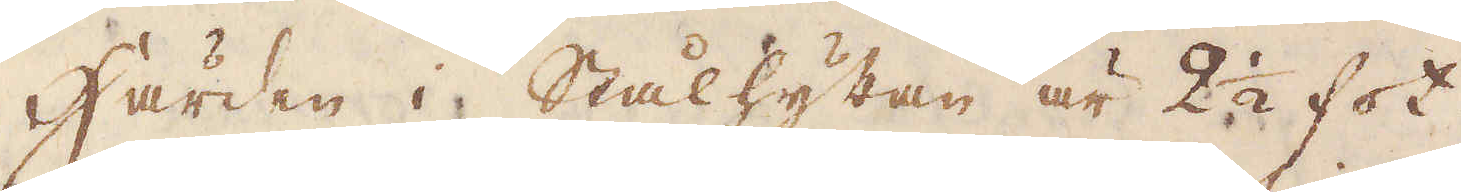Härden i Stålhyttan är 2 1/2 fot
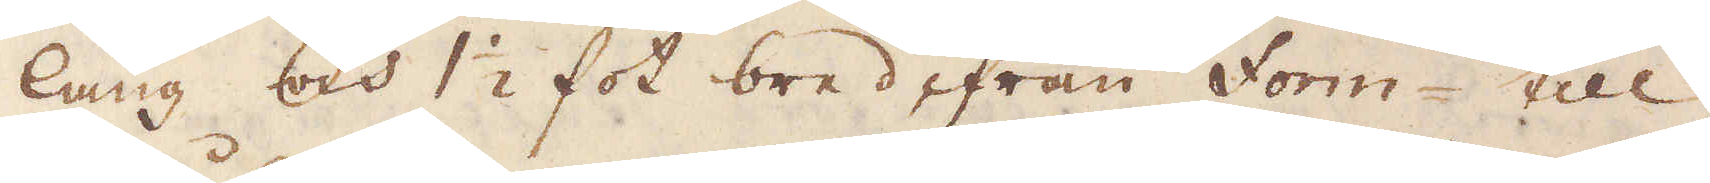lång och 1 1/2 fot bred ifrån Form- till
